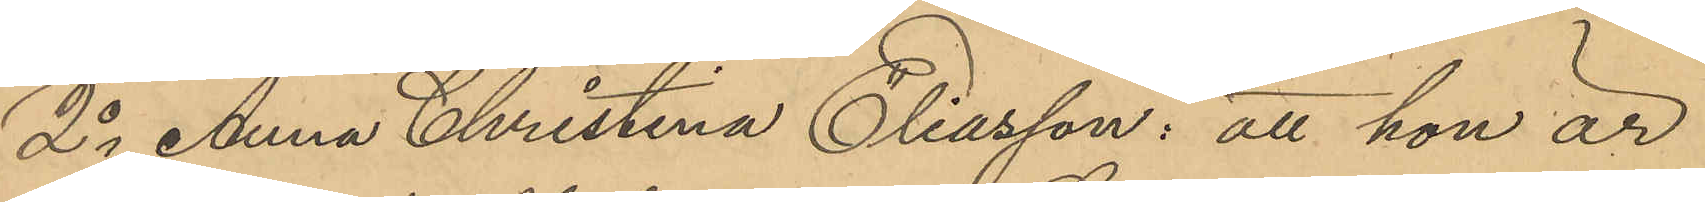2o Anna Christina Eliasson: att hon är
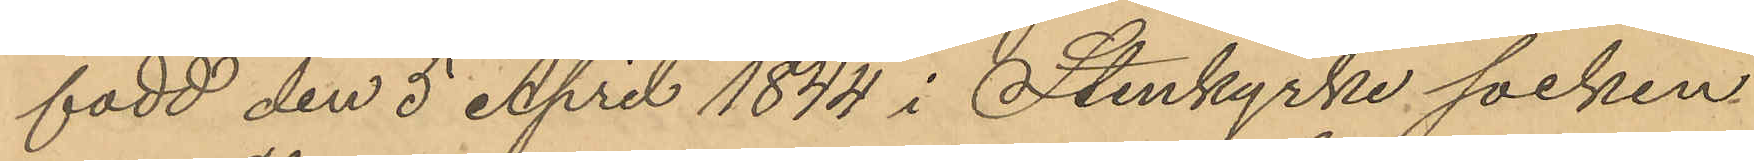född den 5 April 1844 i Stenkyrke socken
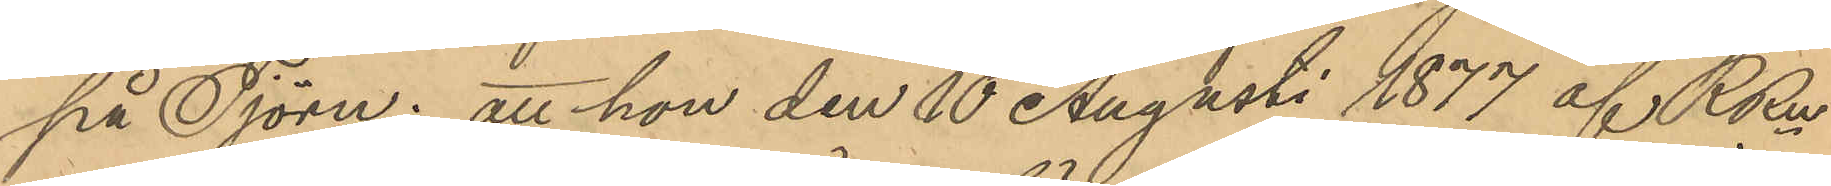på Tjörn; att hon den 10 Augusti 1877 af RRn
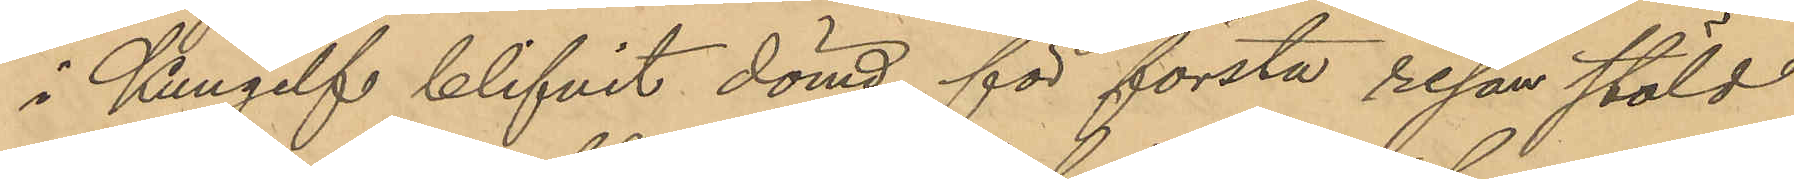i Kungelf blifvit dömd för första resan stöld
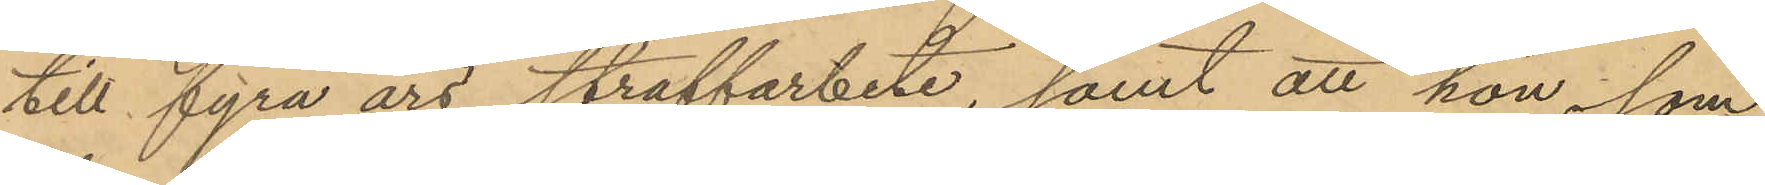till fyra års straffarbete, samt att hon, som
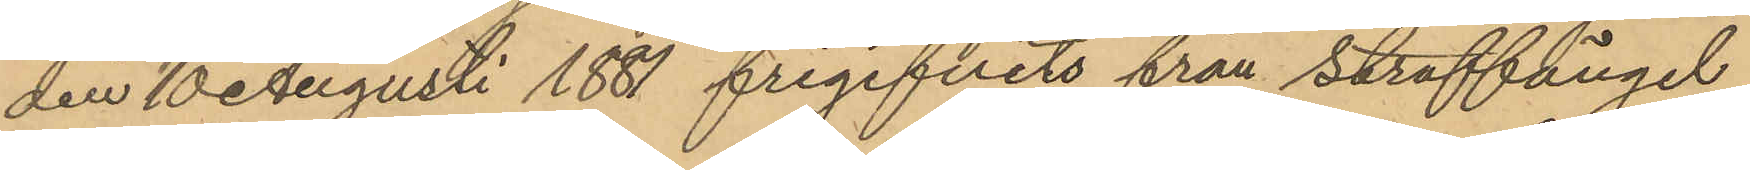den 10 Augusti 1881 frigifvits från straffängel¬
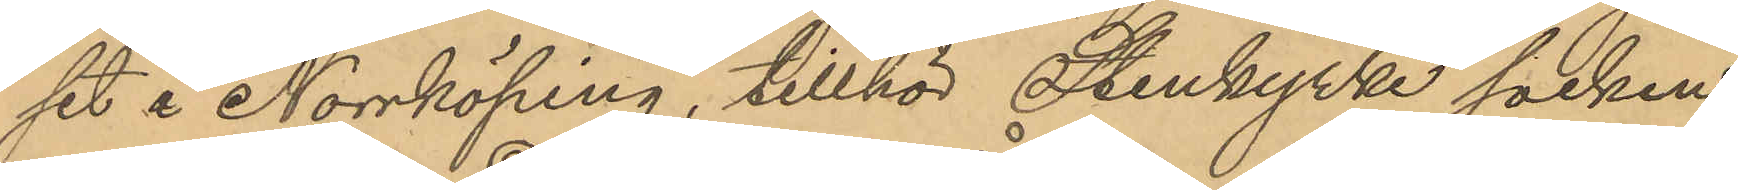set  i Norrköping, tillhör Stenkyrke socken
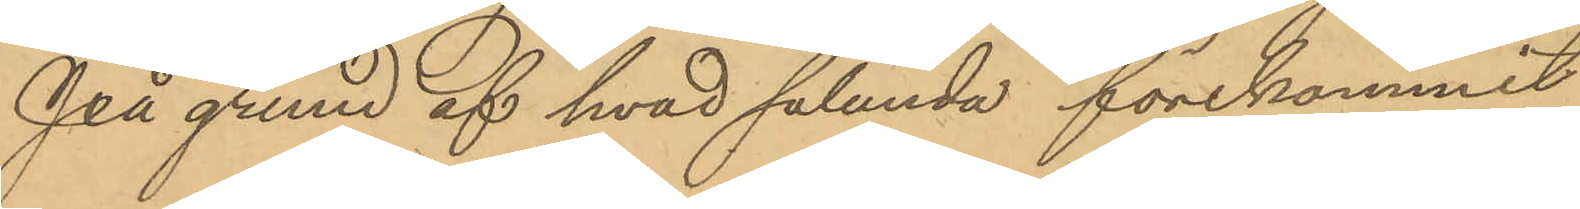På grund af hvad sålunda förekommit
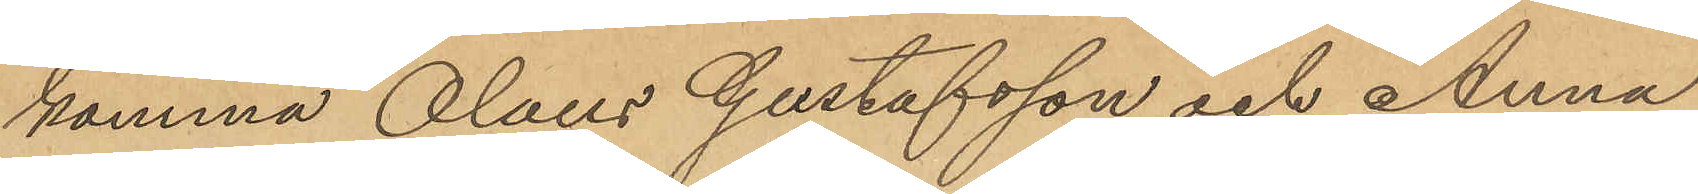komma Olaus Gustafsson och Anna
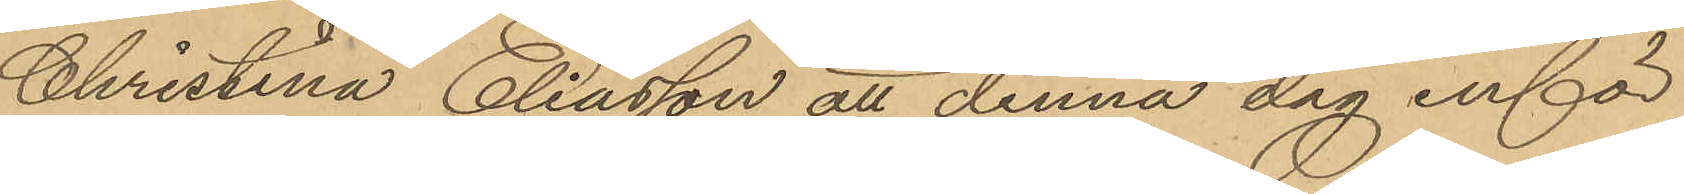Christina Eliasson att denna dag inför
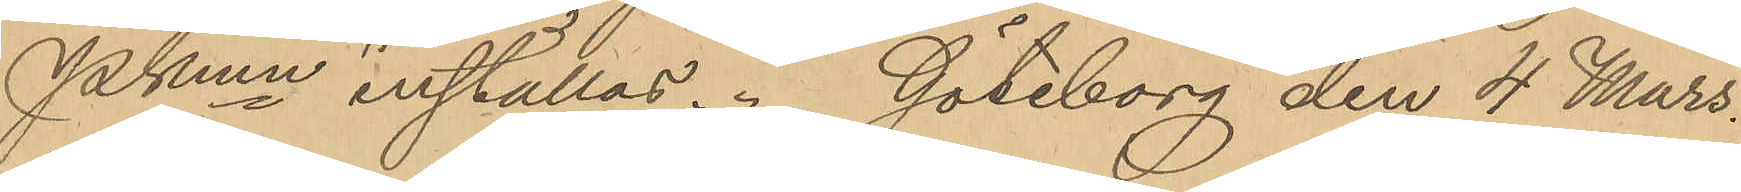Pkmn inställas. Göteborg den 4 Mars
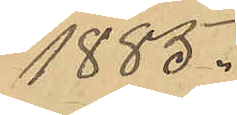1885.
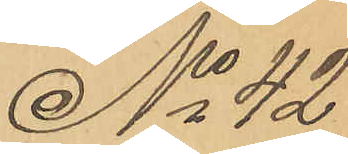No 42
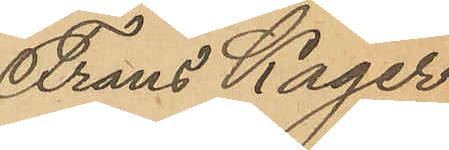Frans Kager
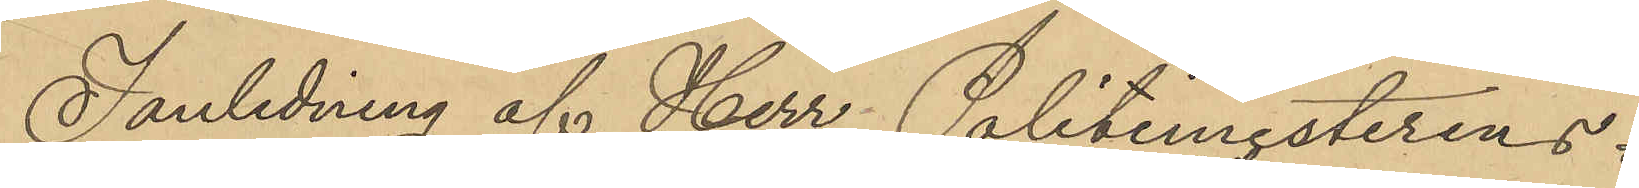I anledning af Herr Politimesterens i
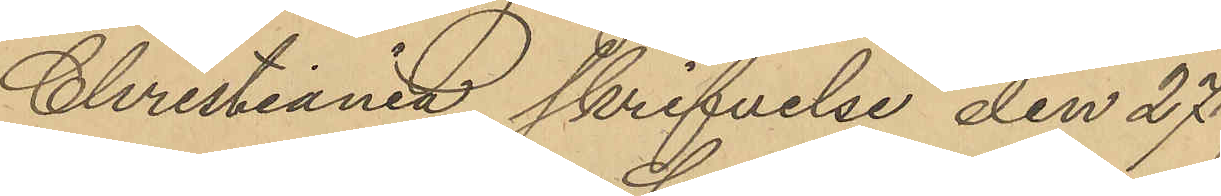Christiania skrifvelse den 27
